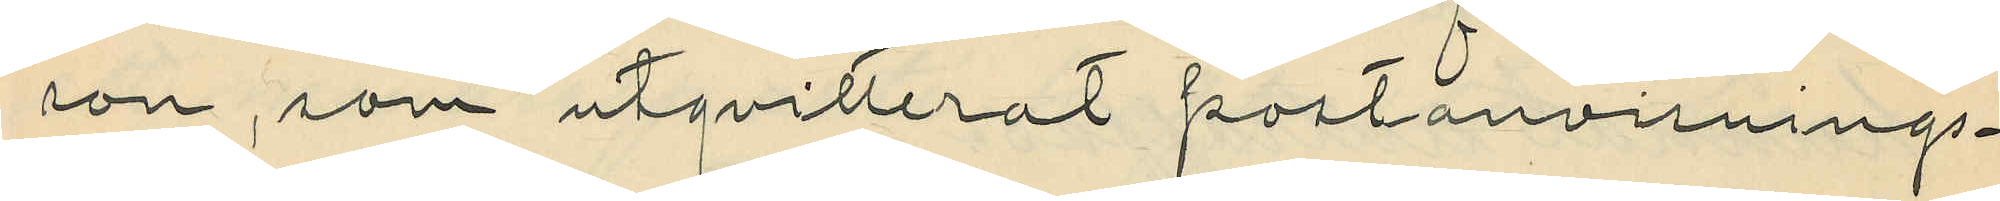son, som utqvitterat postanvisnings¬
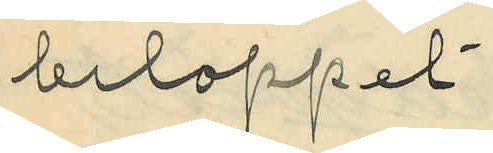beloppet.
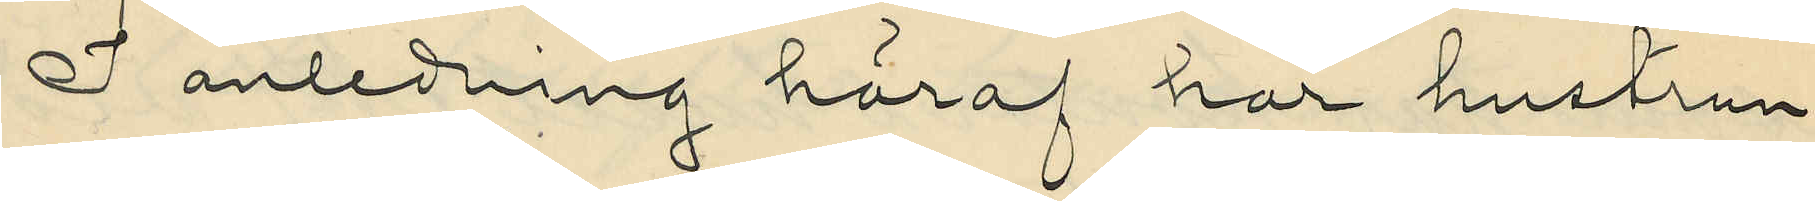I anledning häraf har hustrun
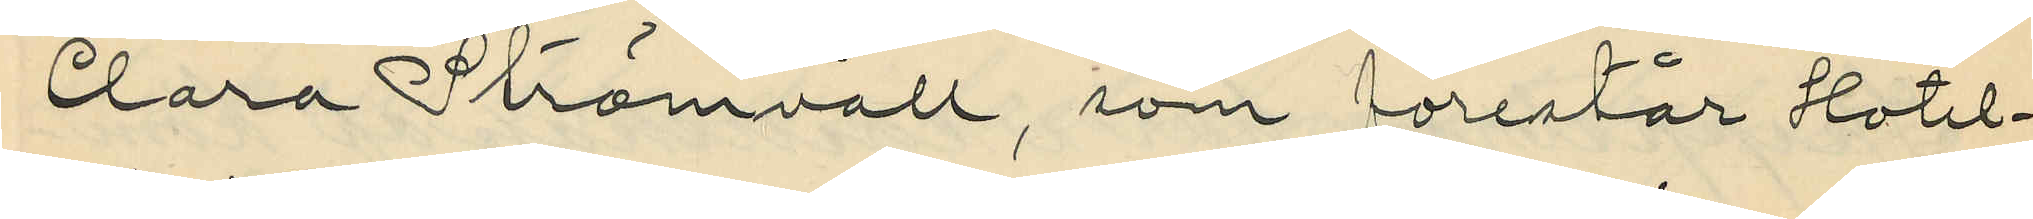Clara Strömvall, som förestår Hotel¬
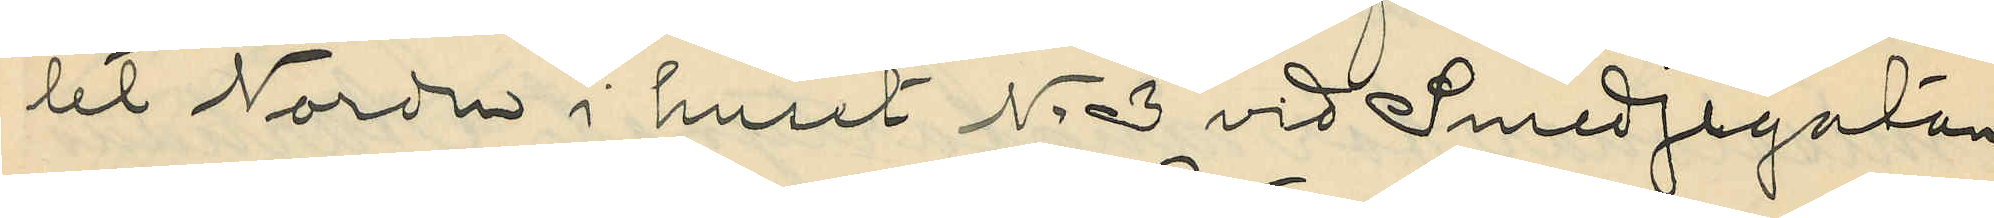let Norden i huset No 3 vid Smedjegatan
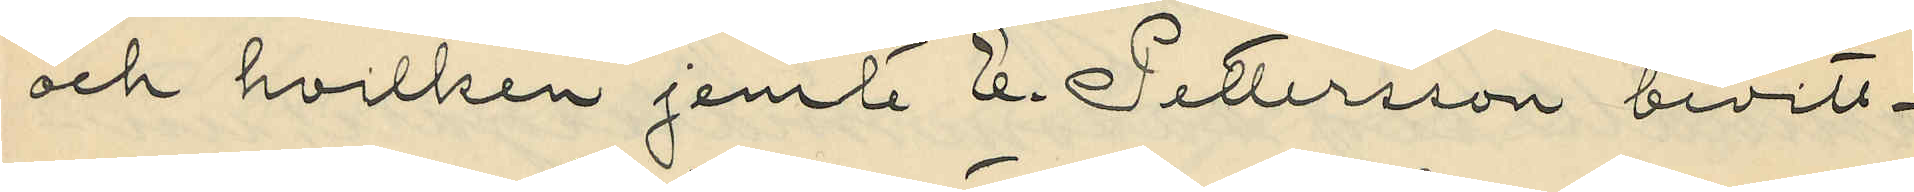och hvilken jemte E. Pettersson bevitt¬
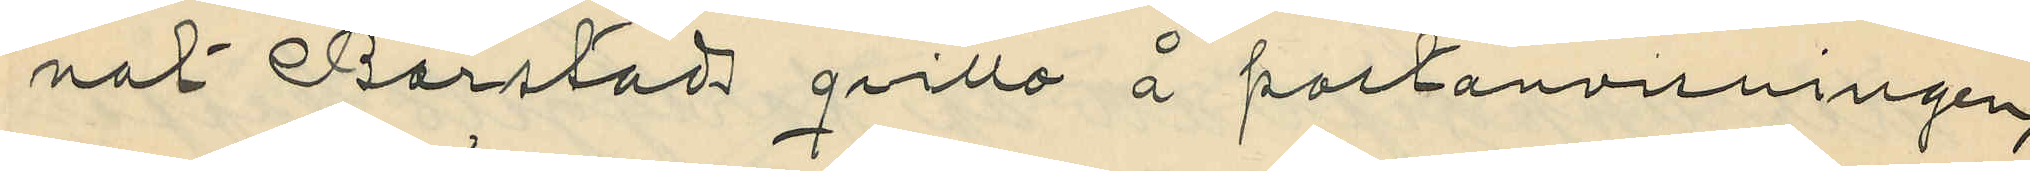nat Barstads qvitto å postanvisningen,
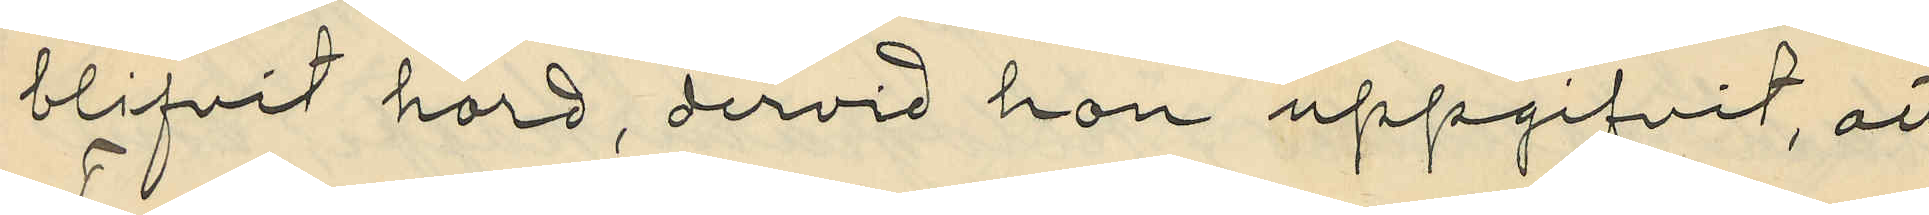blifvit hörd, dervid hon uppgifvit, att
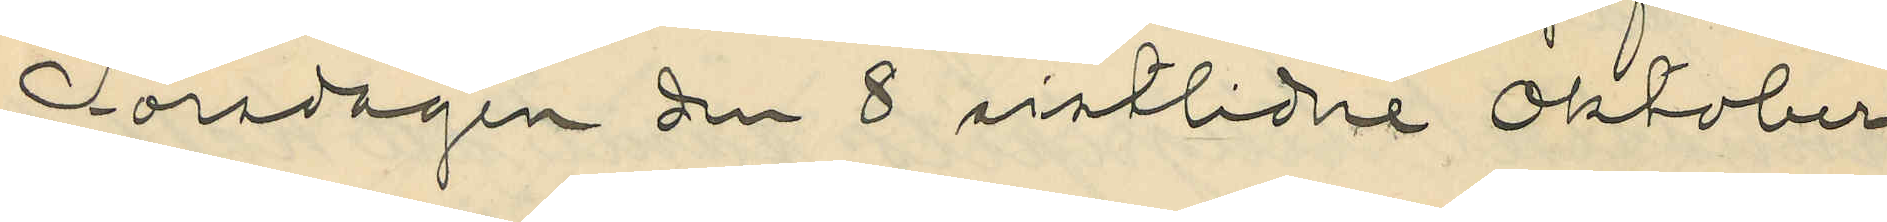Torsdagen den 8 sistlidne Oktober
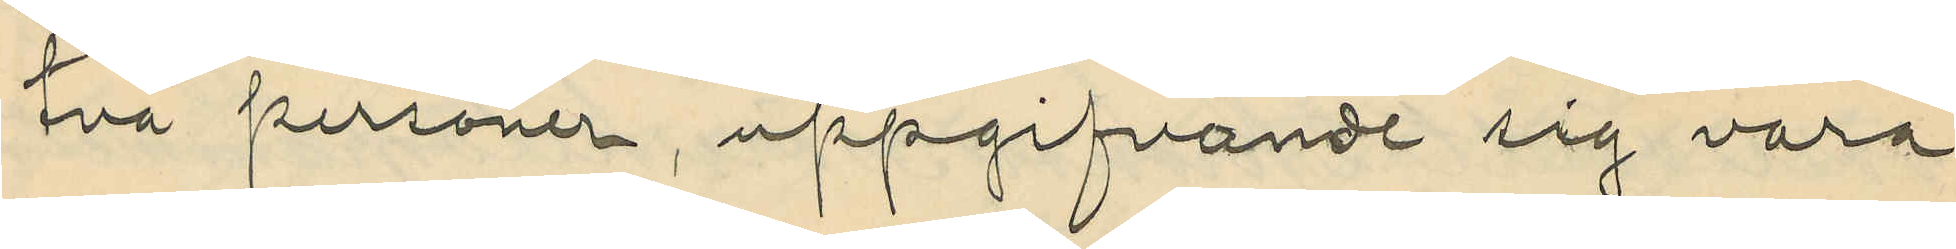två personer, uppgifvande sig vara:
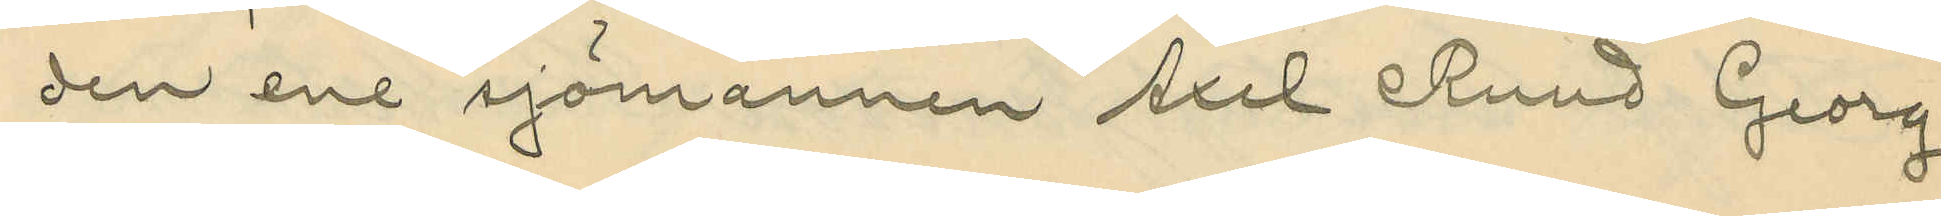den ene sjömannen Axel Ruud Georg
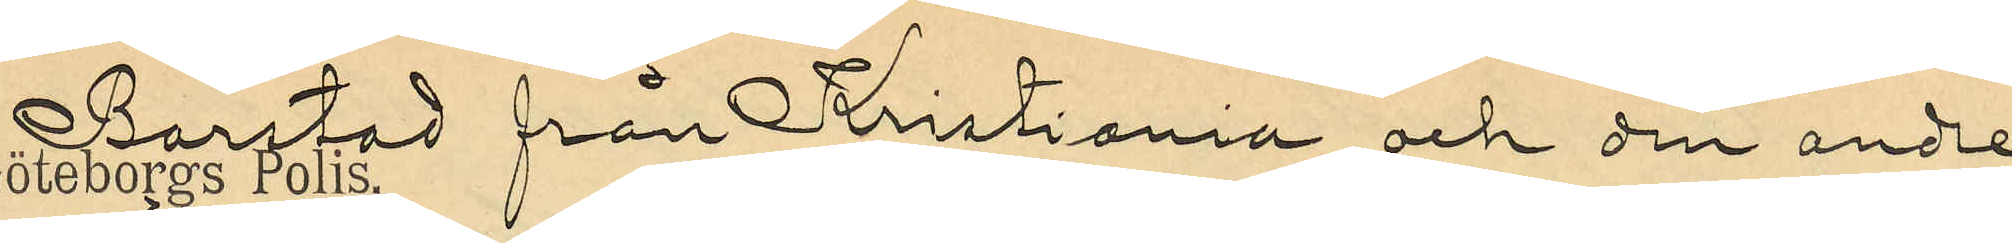Barstad från Kristiania och den andre
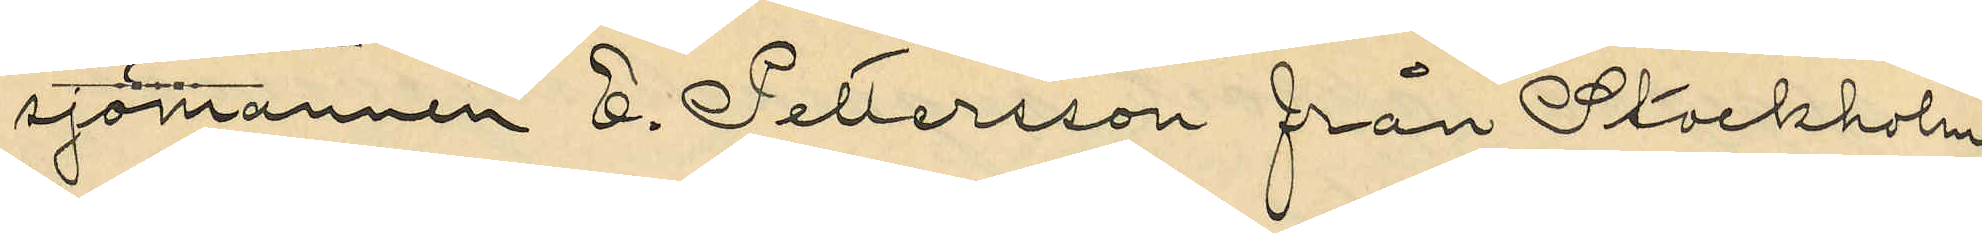sjömannen E. Pettersson från Stockholm,
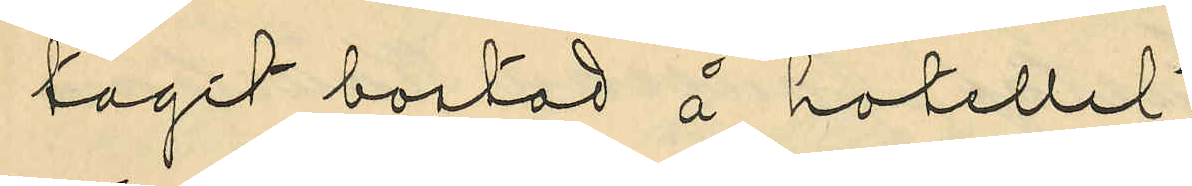tagit bostad å hotellet,
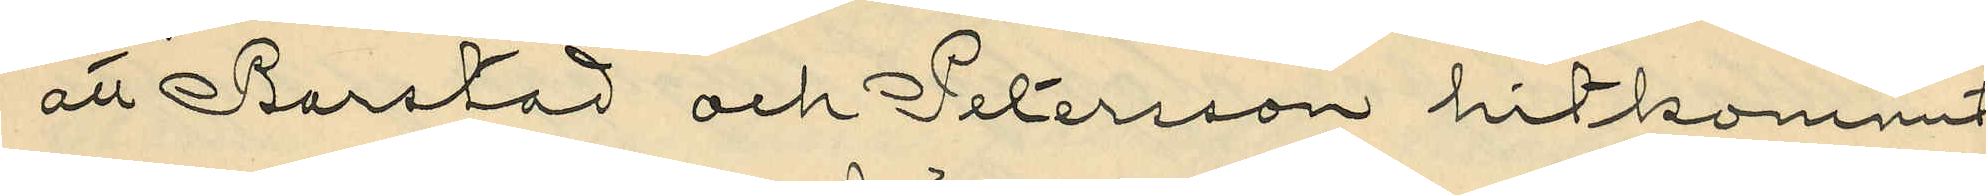att Barstad och Petersson hitkommit
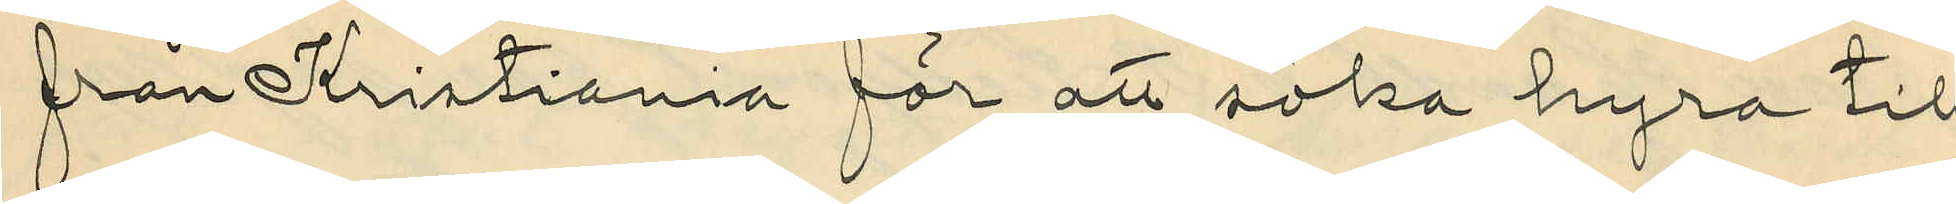från Kristiania för att söka hyra till
